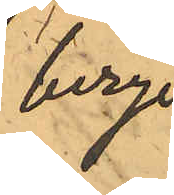berg
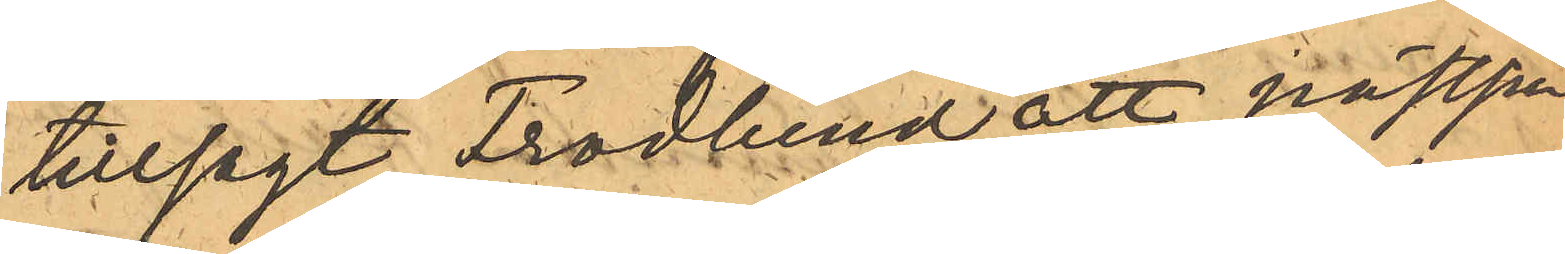tillsagt Frodlund att nästpå¬
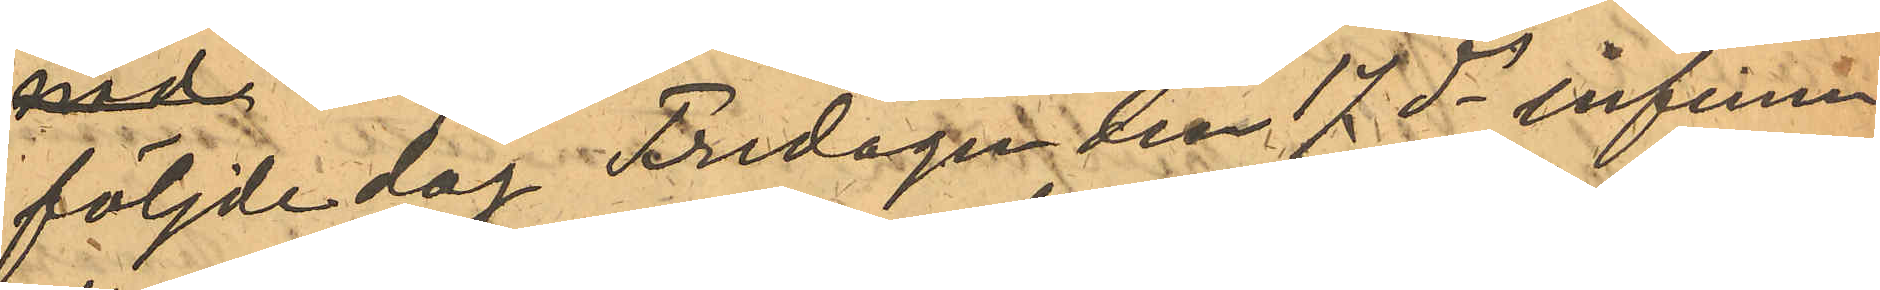följde dag Fredagen den 17 ds infinna
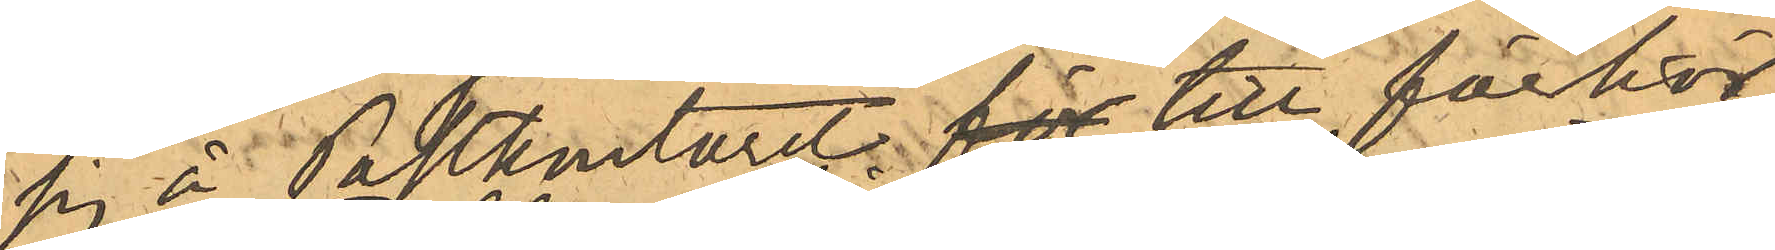sig å Postkontoret för till förhör
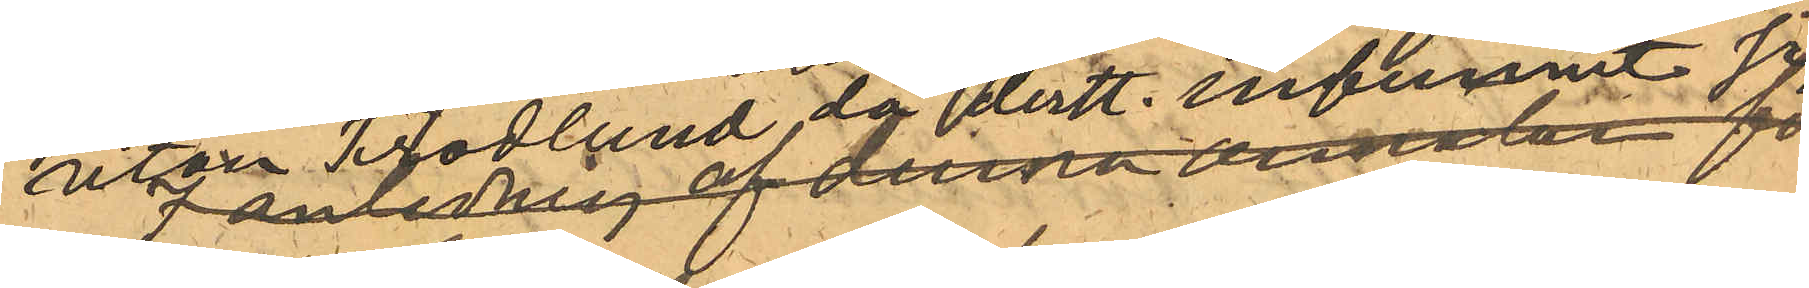utan Frodlund då derst. infunnit sig.
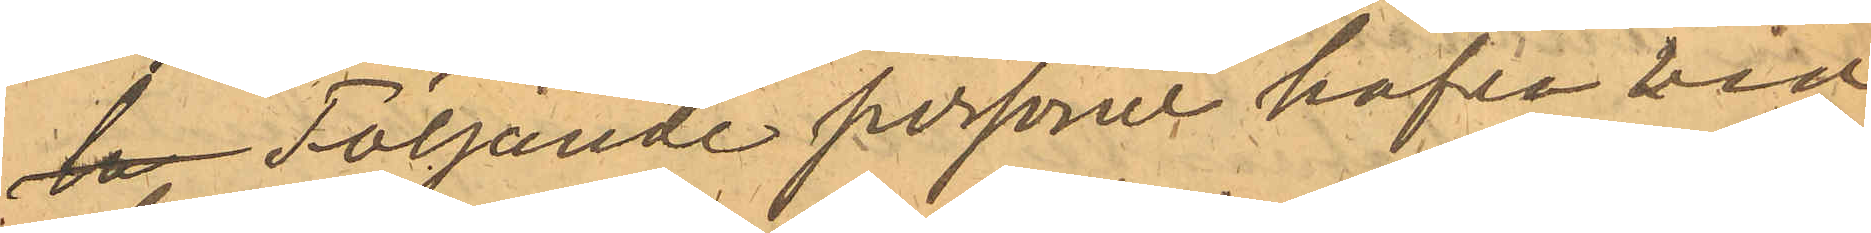la Följande personer hafva vid
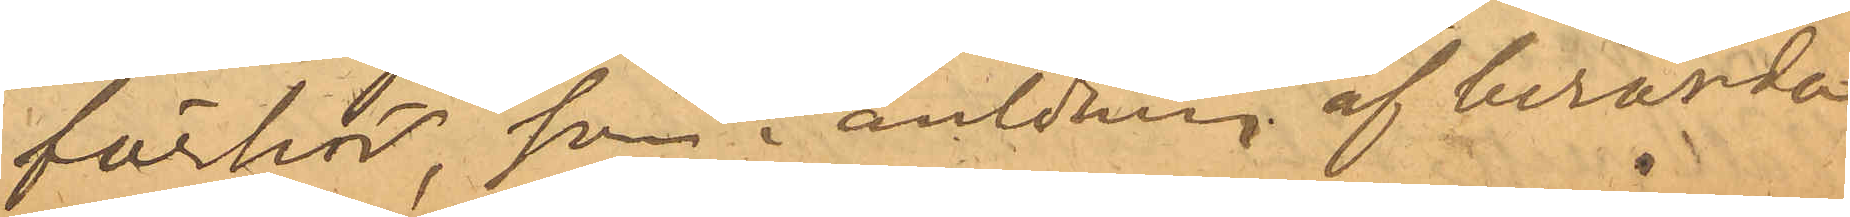förhör, som i anledning af berörda
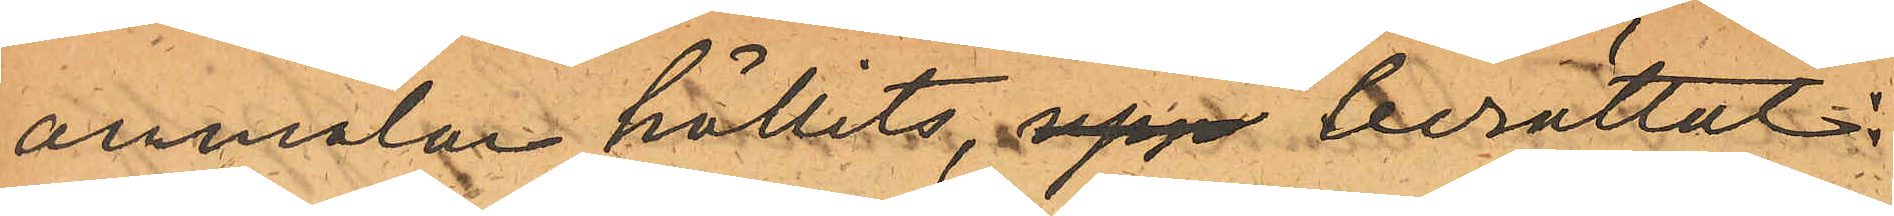anmälan hållits, upp berättat
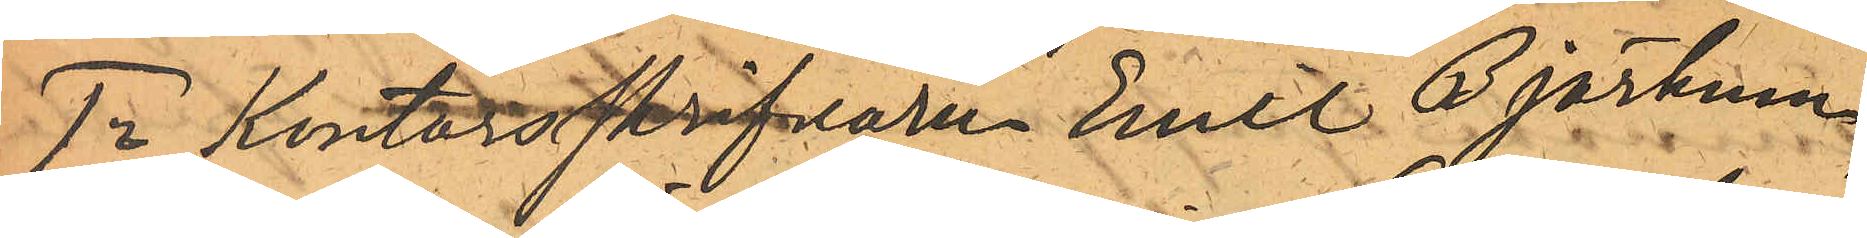1o Kontorsskrifvaren Emil Björkman,
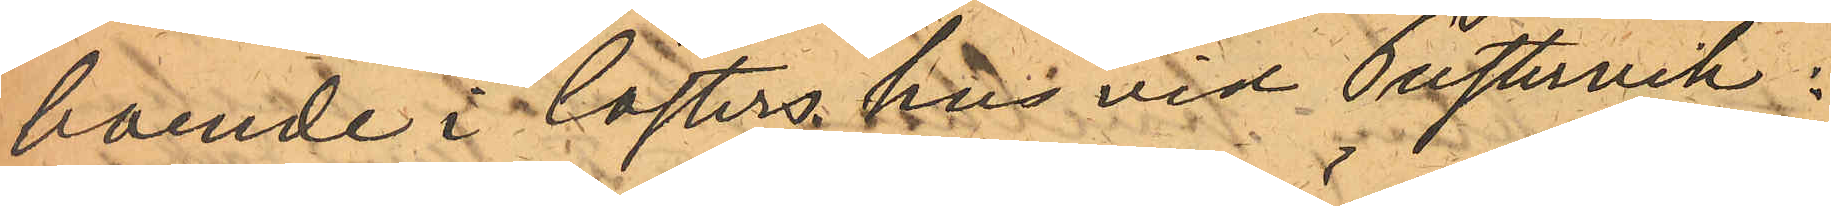boende i Cösters hus vid Pustervik:
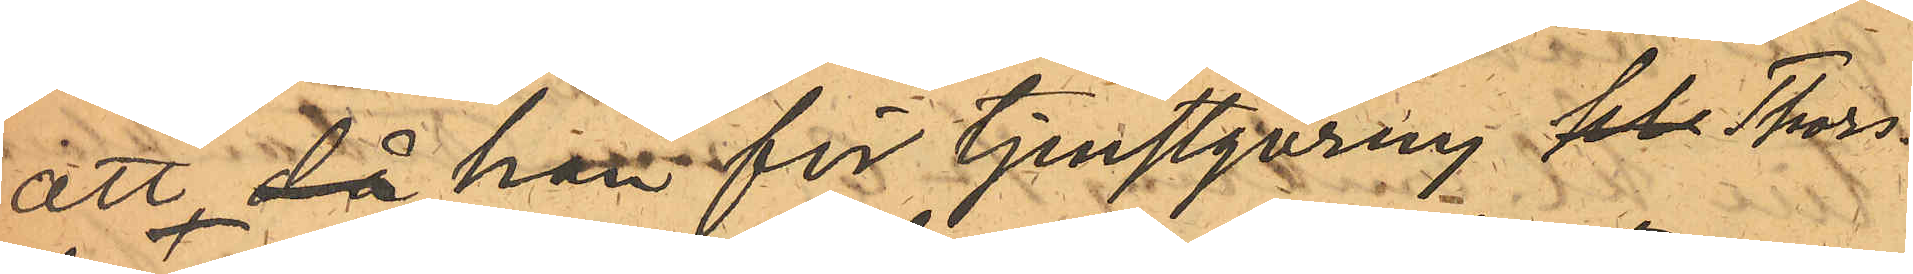att då han för tjenstgöring kl Thors¬
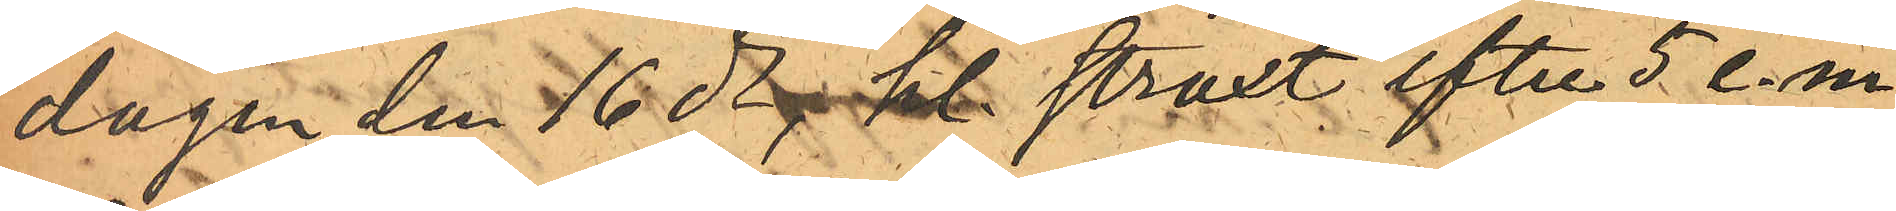dagen den 16 ds, kl straxt efter 5 e.m.
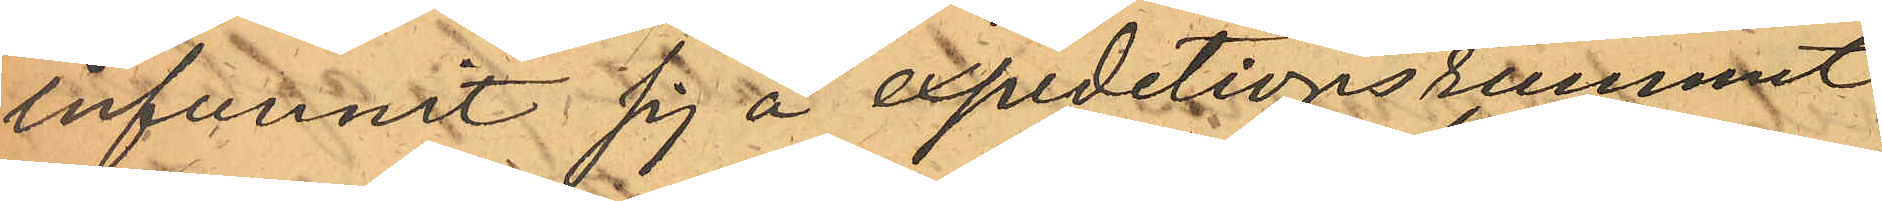infunnit sig å expeditionsrummet,
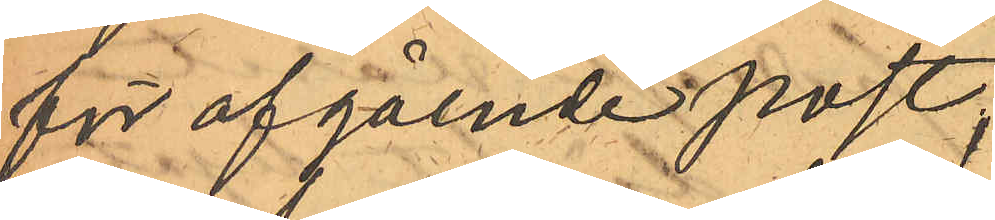för afgående post;
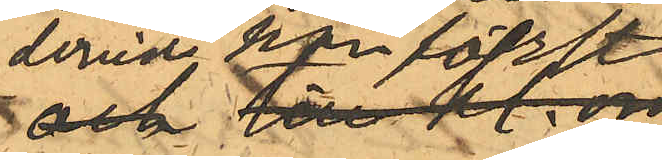dervid han först
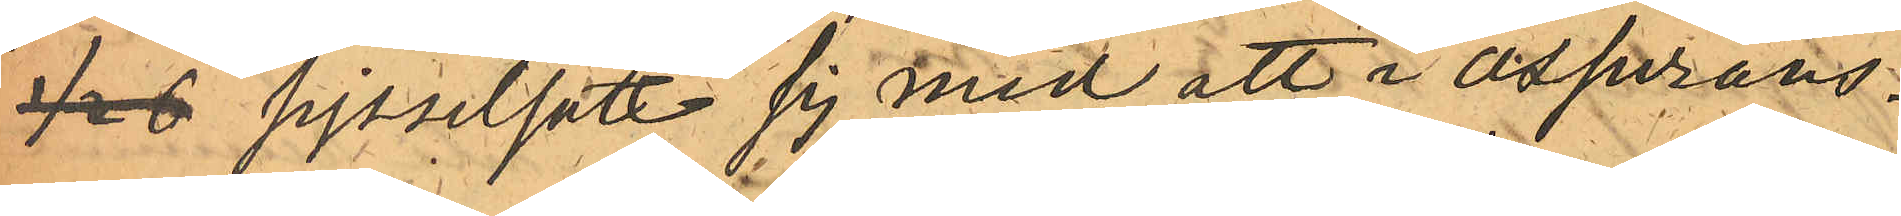1/2 6 sysselsatt sig med att i "assurans¬
